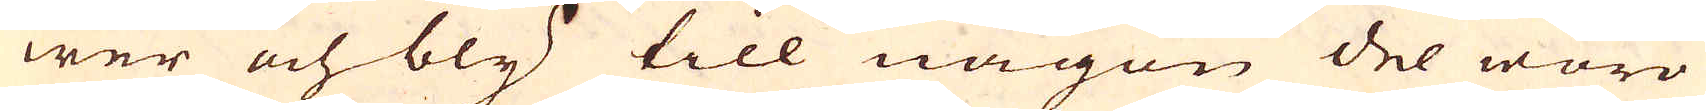wer och bly till någon del woro
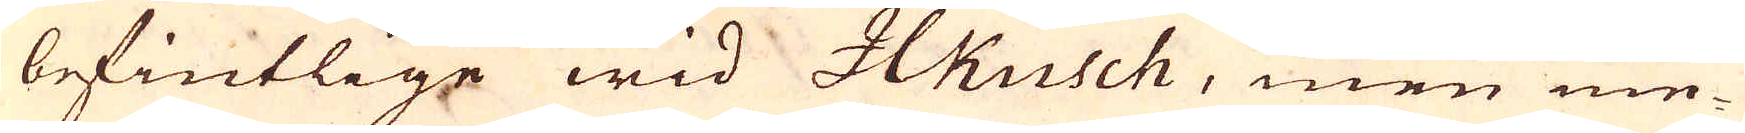befintlige wid Ilkusch, men eme-
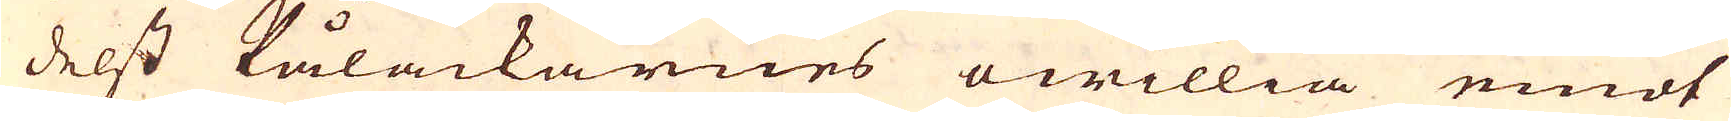delst Pålackarnes owillia emot
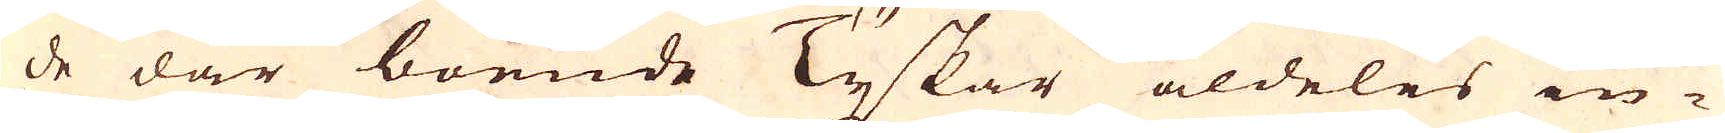de där boende Tyskar aldeles in-
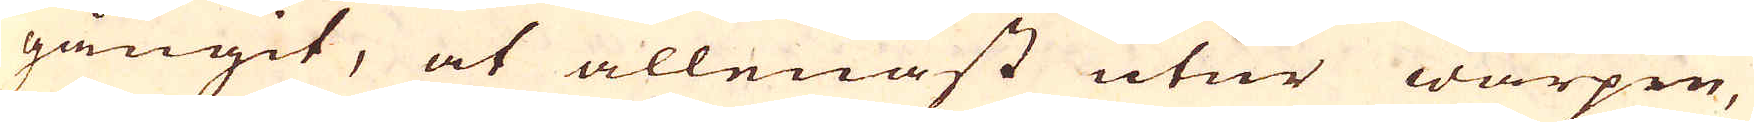gångit, at allenast utur warpen,
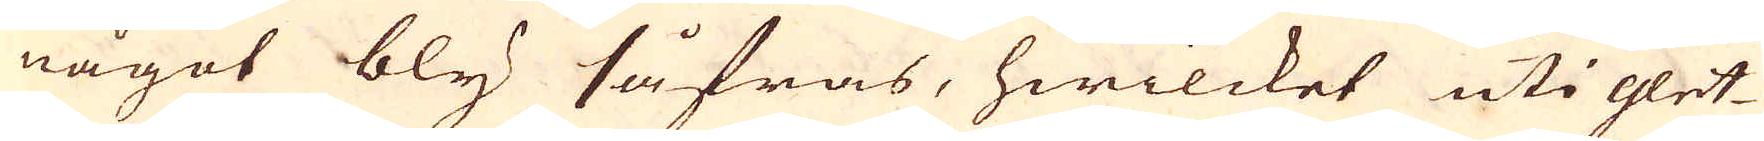något bly såfras, hwilcket uti glet-
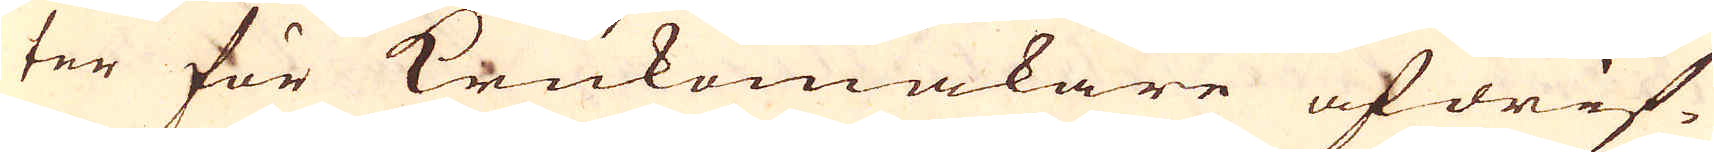ter för Krukemakare afdrif-
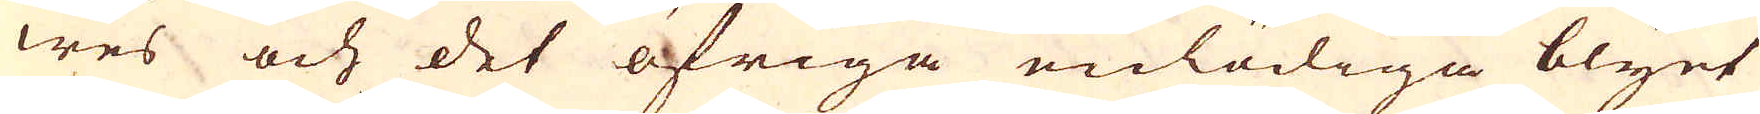wes och det öfriga enlödiga blyet
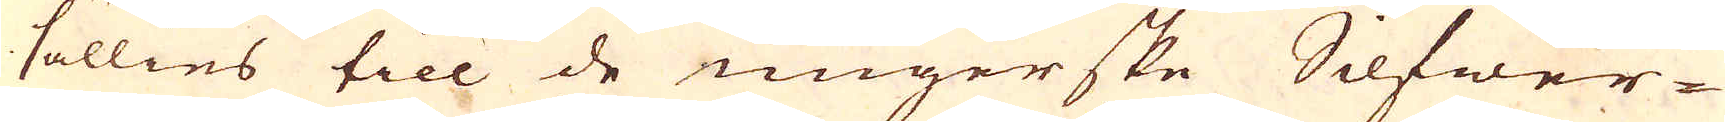sällies till de ungerske Silfwer
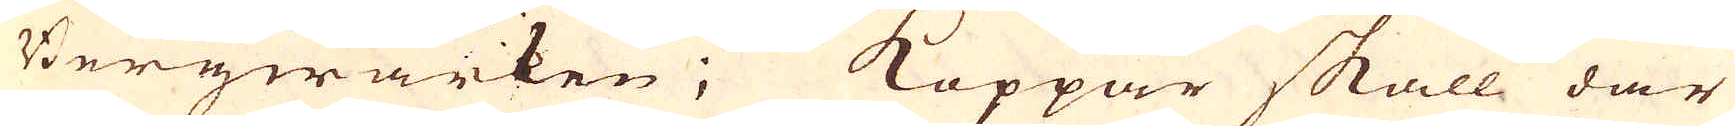Bergwärken; Koppar skall där
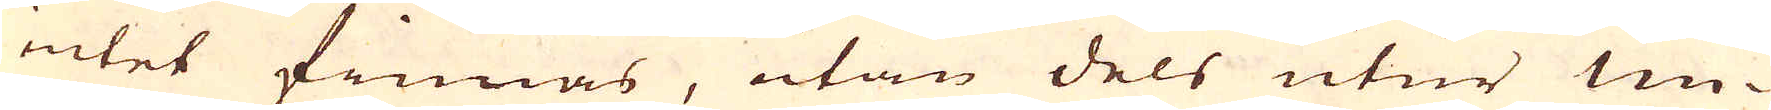intet finnas, utan dels utur Un-
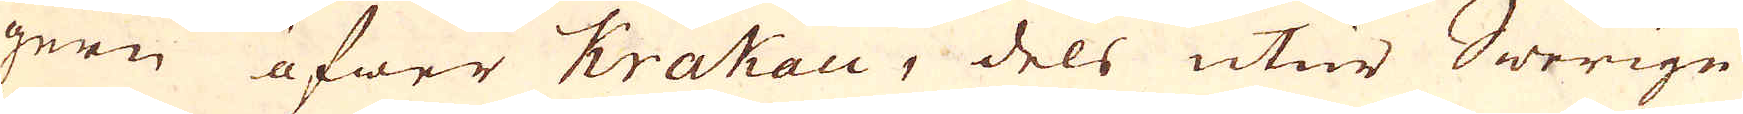gern öfwer Krakau, dels utur Swerige
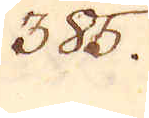385.
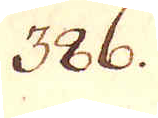386.
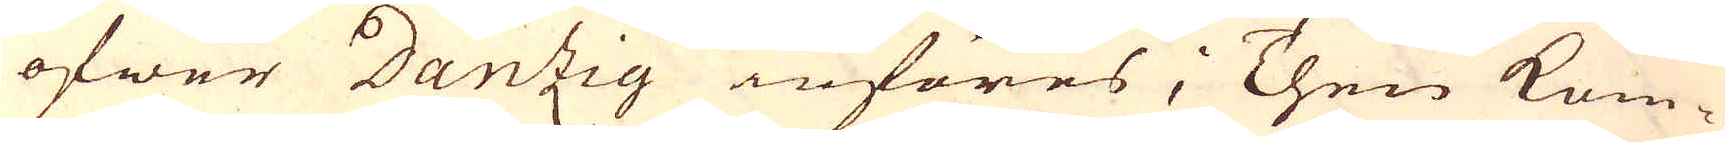öfwer Dantzig införes; Then kom-
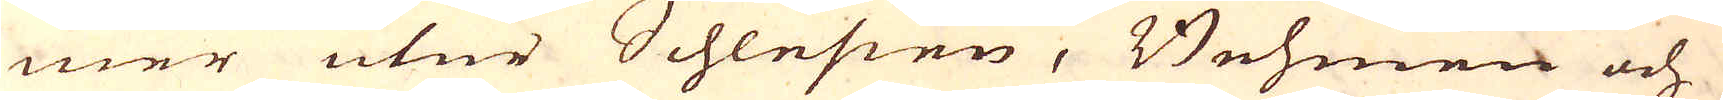mer utur Schlesien, Bohmen och
